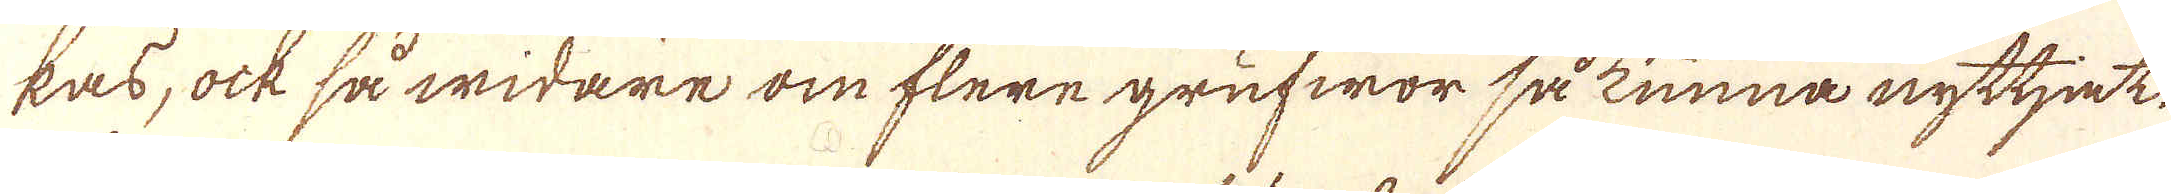kas, ock så widare om flere grufwor så kunna nyttjet
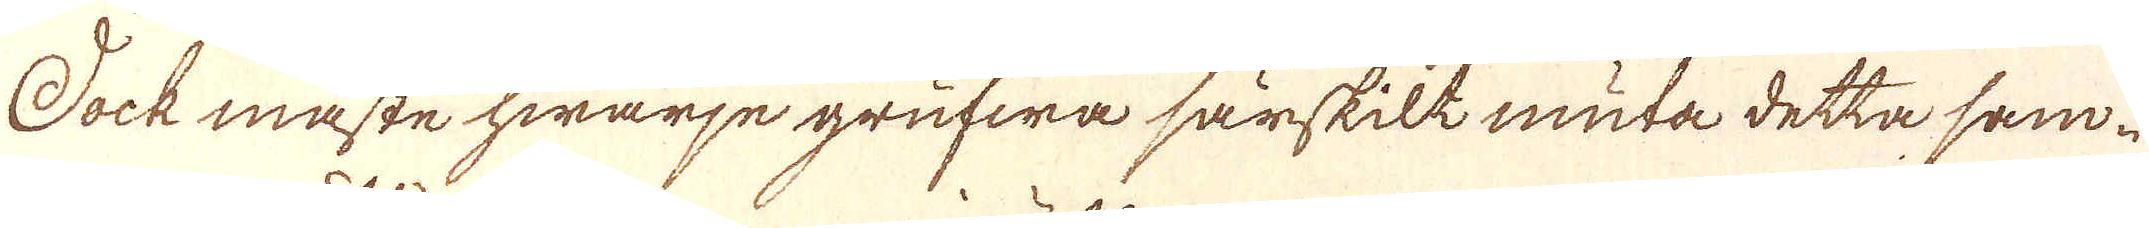Dock måste hwarje grufwa särskilt muta detta sam-
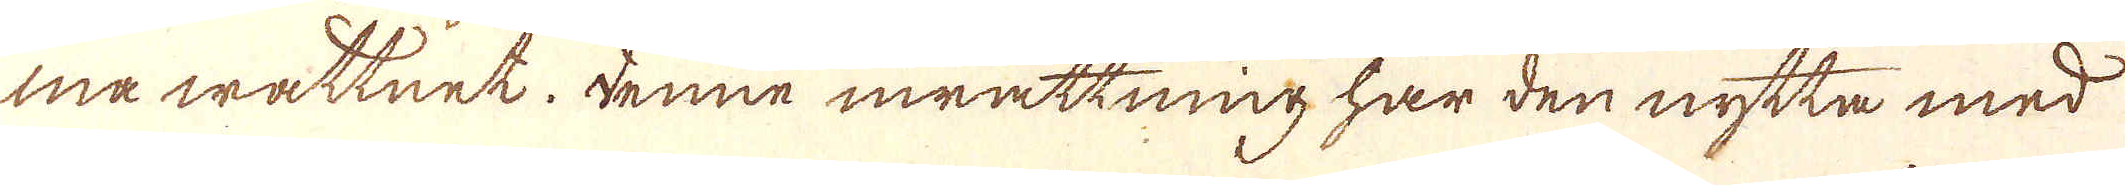må wattnet. Denne inrättning har den nytta med
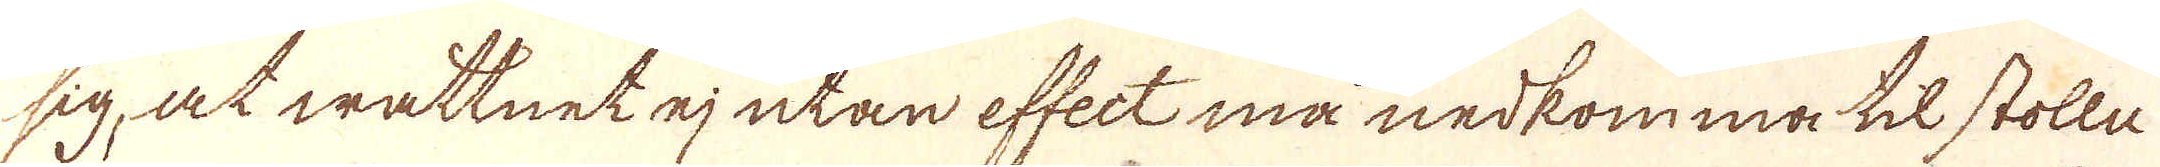sig, at wattnet ej utan effect må nedkomma til stolln
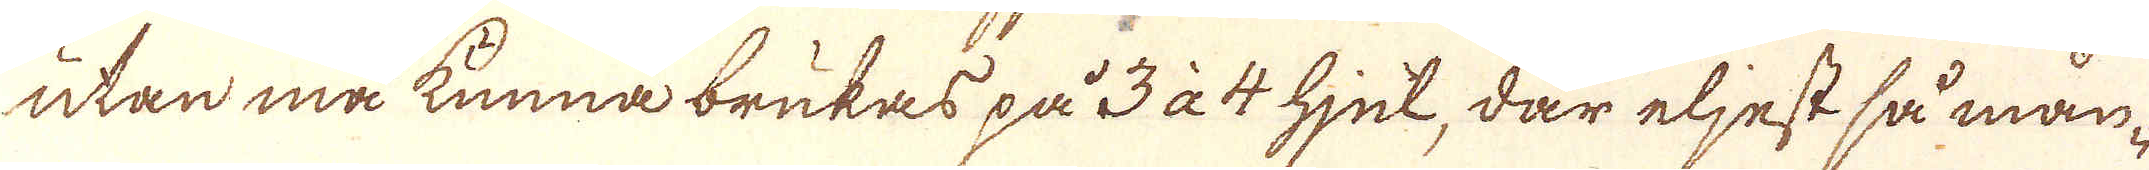utan må kunna brukas på 3 à 4 hjul, där eljest så mån-
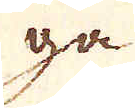ga
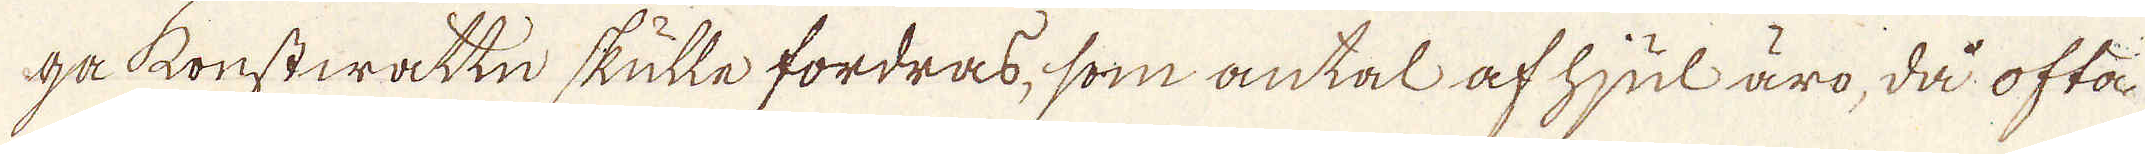ga konstwattn skulle fordras, som antal af hjul äro, då ofta
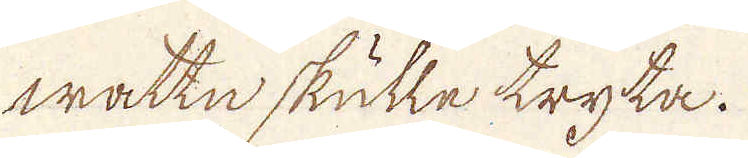wattn skulle tryta.
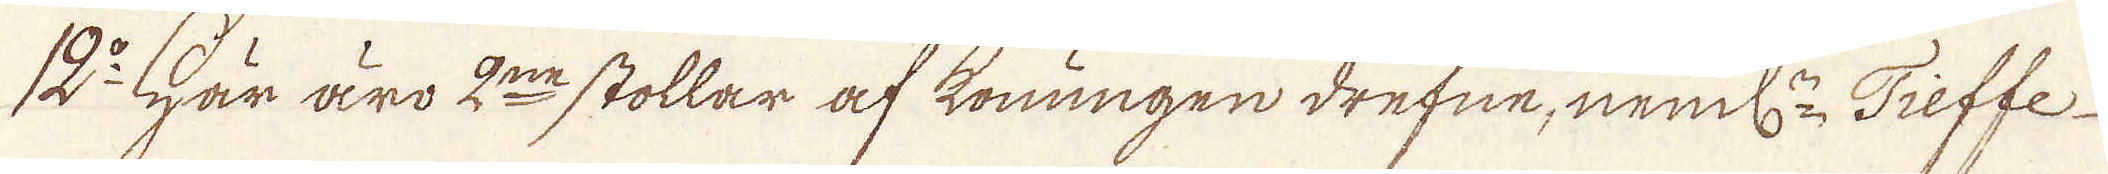12:o Här äro 2:ne stollar af konungen drefne, neml:n Tieffe
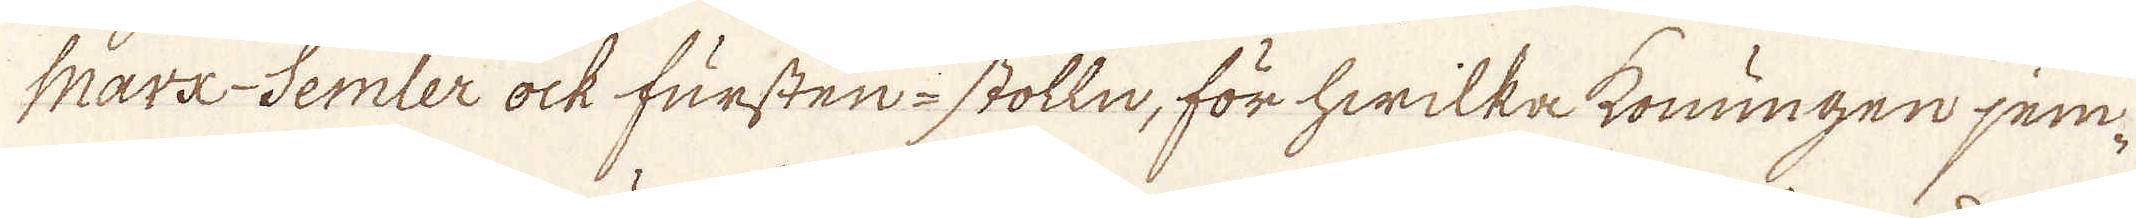Marx-Semler ock fursten-stolln, för hwilka konungen jem-
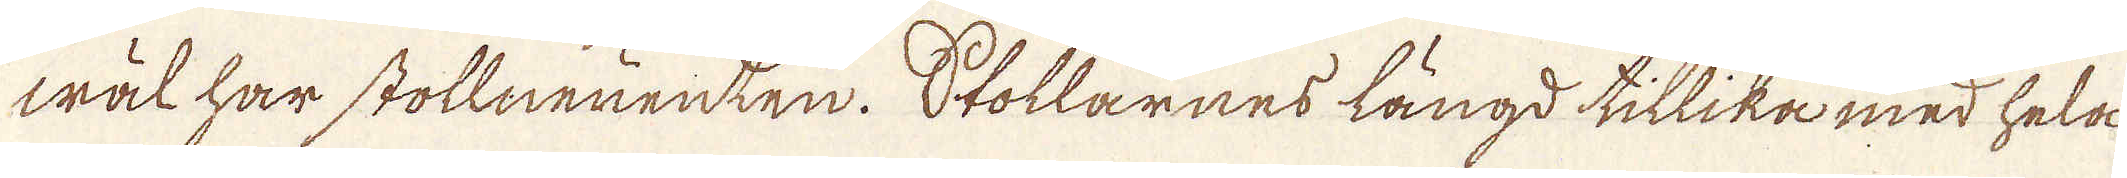wäl har stollneuenten. Stollarnes längd tillika med hela
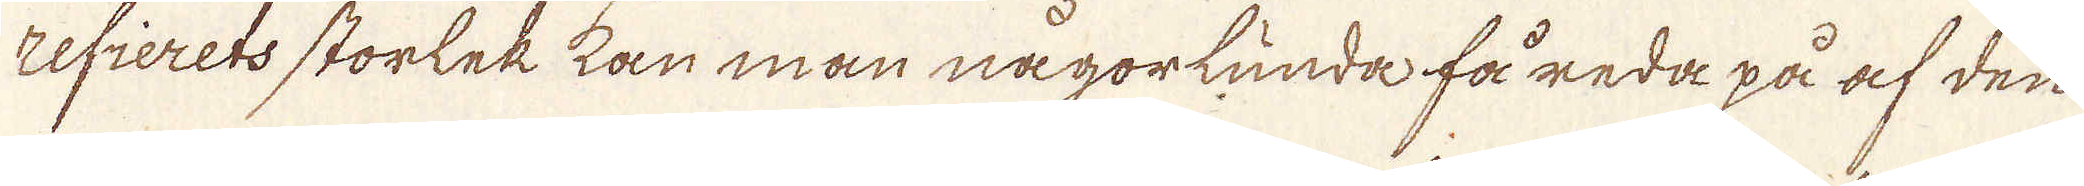refierets storlek kan man någorlunda få reda på af den
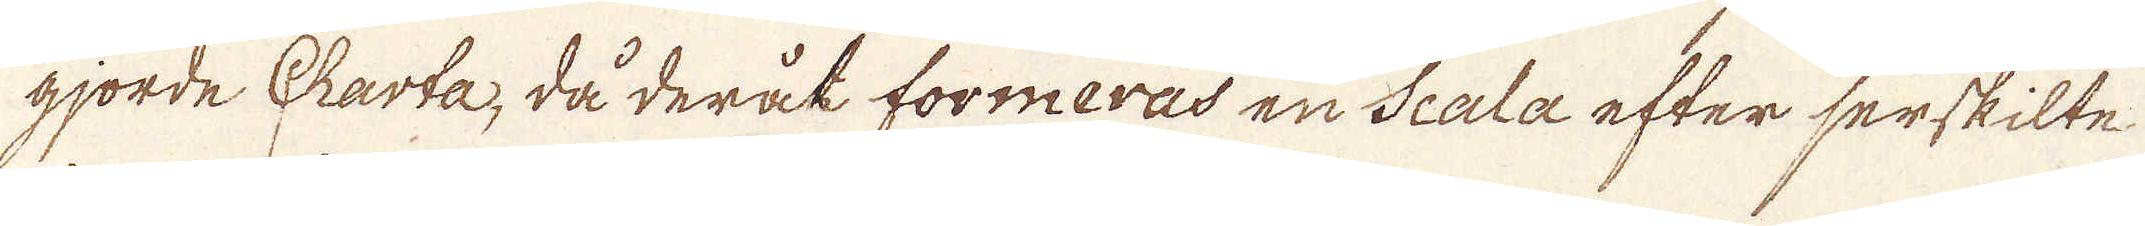gjorde Charta, då derock formeras en Scala efter serskilte
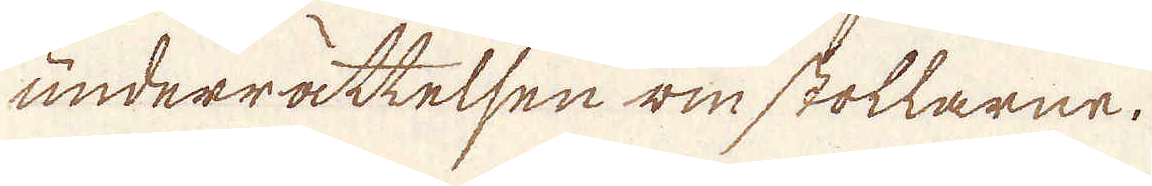underrättelsen wm stollarne.
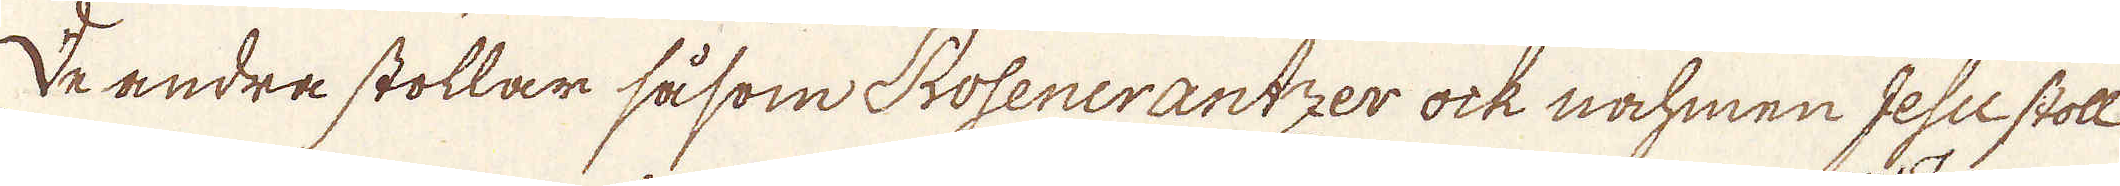De andra stollar såsom Rosenerantzer ock nahmen Gesu stoll
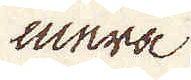mera
